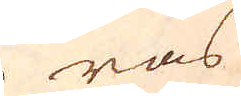ras
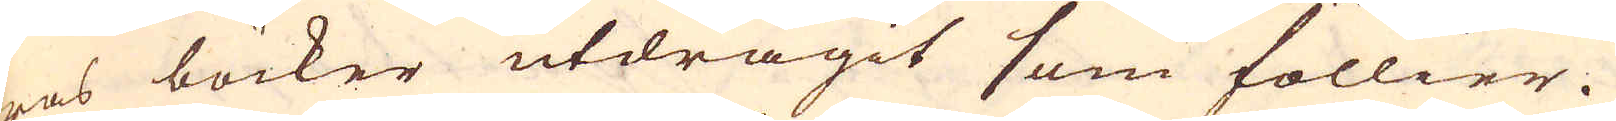ras böcker utdragit som föllier.
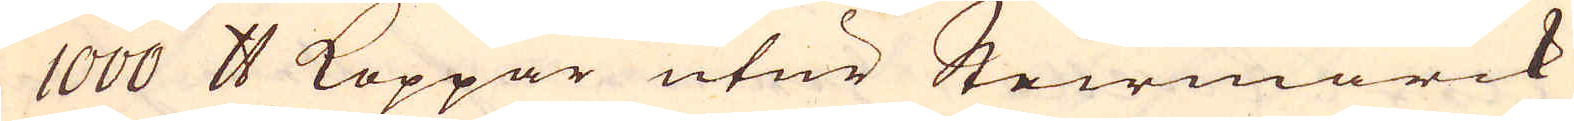1000 skålpund Koppar utur Steirmarck
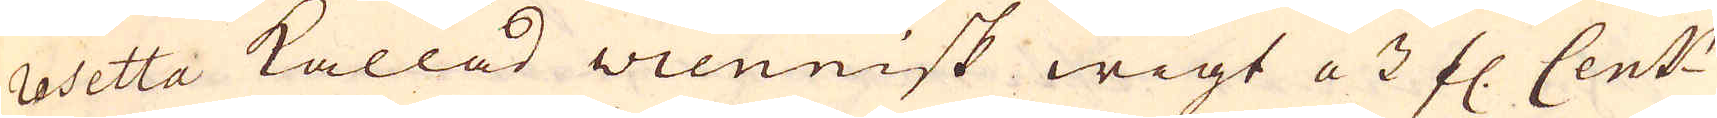rosetta kallad wiennisk wigt a 3 fl. Cent:r
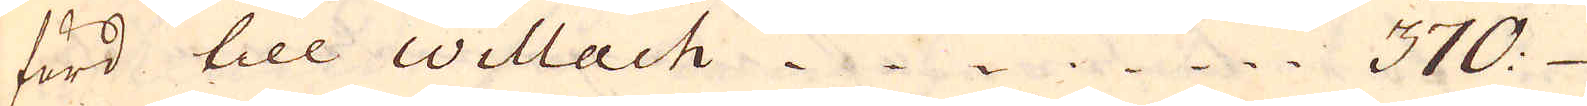förd till Willach 370 : –
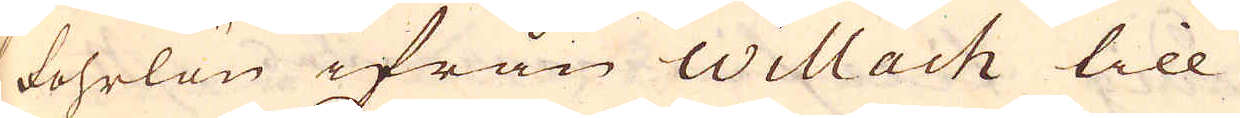fohrlön ifrån Willach till
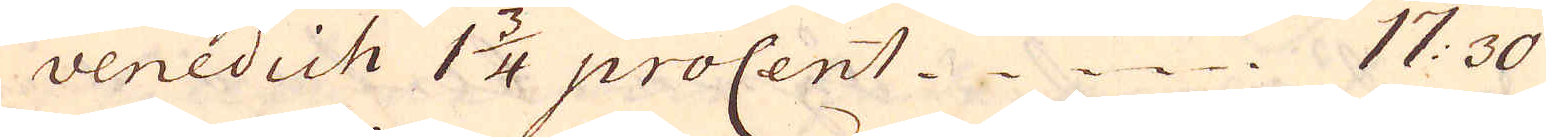venedich 1 3/4 proCent 17:30
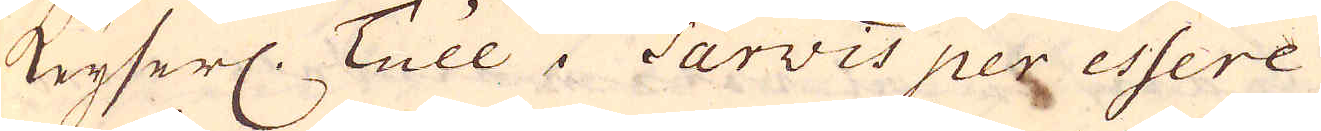Keyserl. Tull i Tarvis per essere
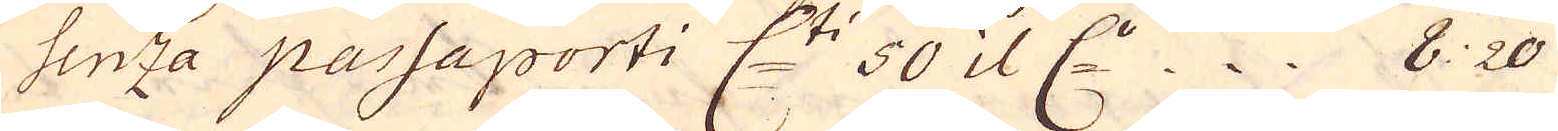Senza passaporti C:ti 50 il C:r 8:20
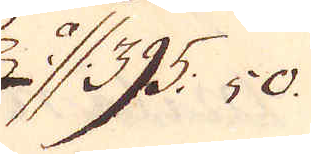a//395:50.
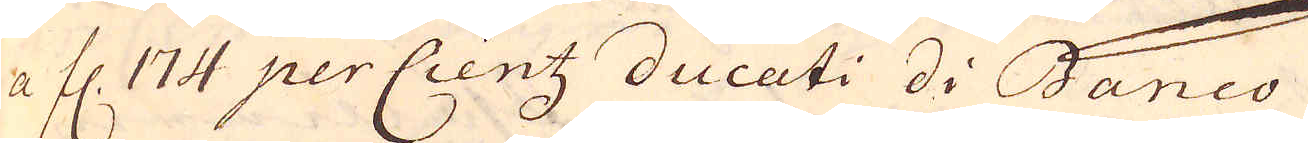a fl. 174 per Cientz ducati di Banco
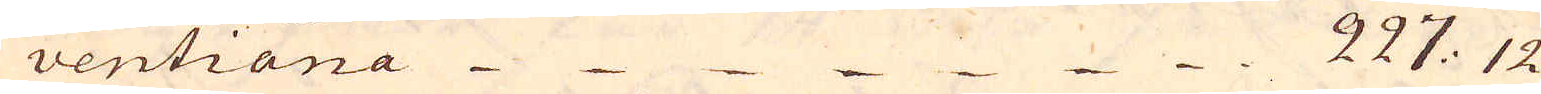ventiana 227: 12
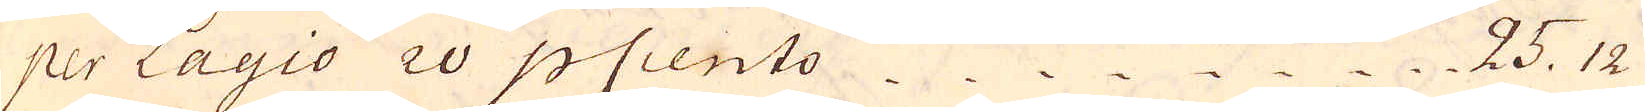per Lagio 20 p cento 25. 12
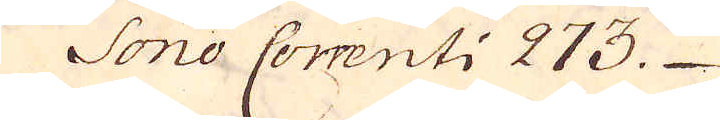Sono Correnti 273.
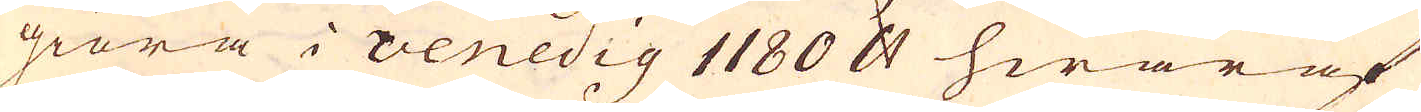giöra i venedig 1180 skålpund hwaraf
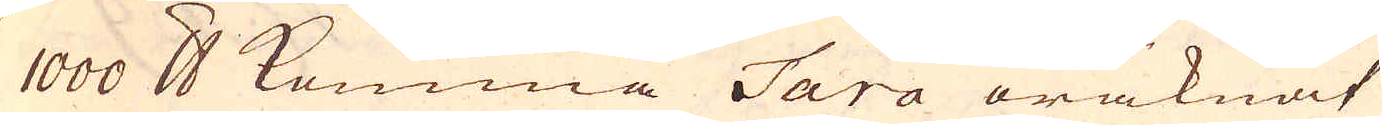1000 skålpund komma Tara oräknat
